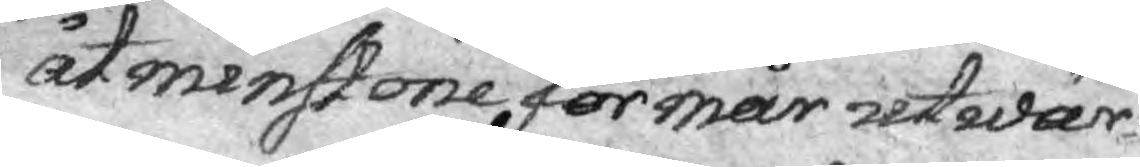åtmenstone förmår utwär¬
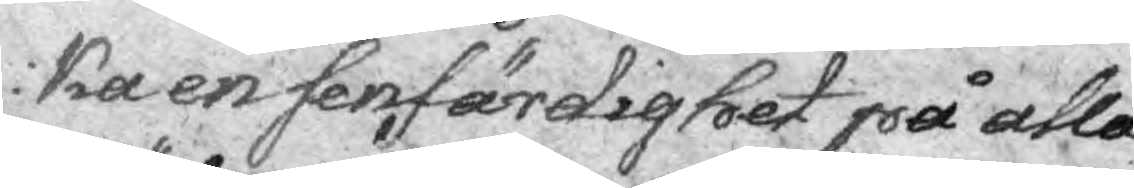ka en senfärdighet på alla
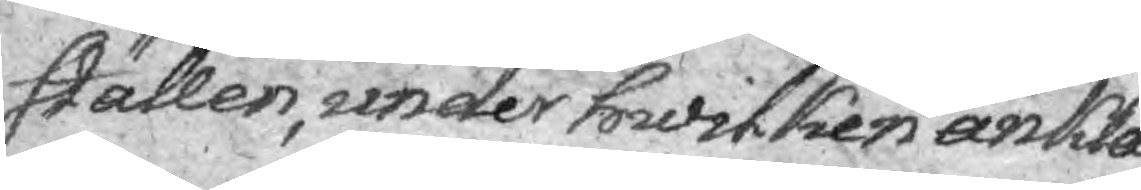ställen, under hwilken ankla¬
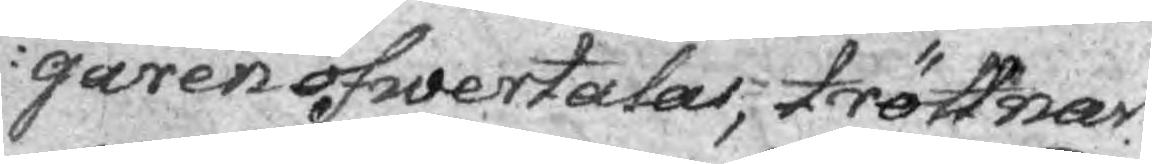garen öfwertalas, tröttnar
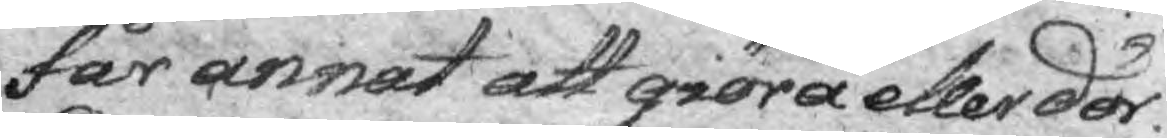får annat att giöra eller dör.
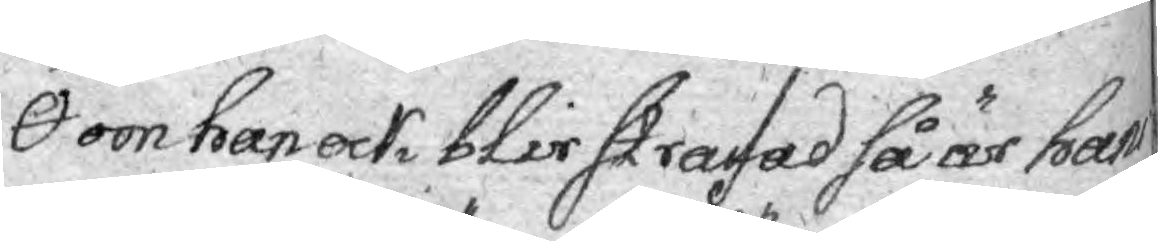om han ock blir stafad så är hans
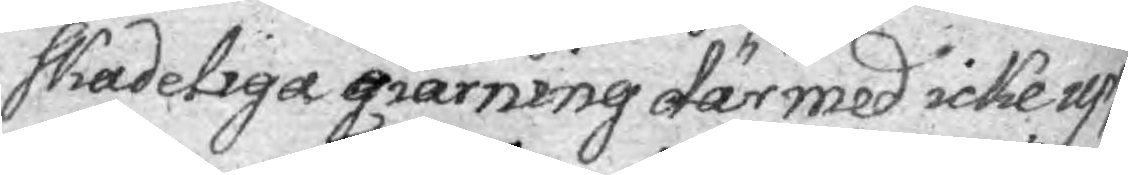skadeliga gärning därmed icke upp¬
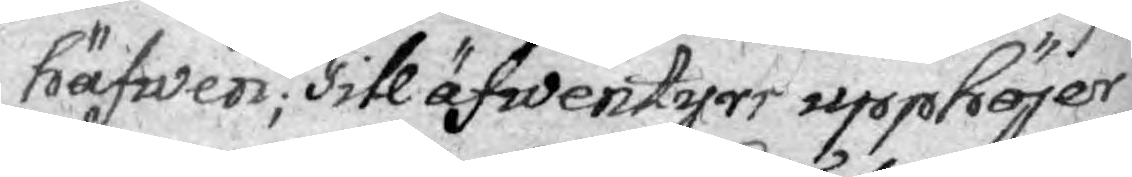häfwen; Till äfwentyrr upphöjer
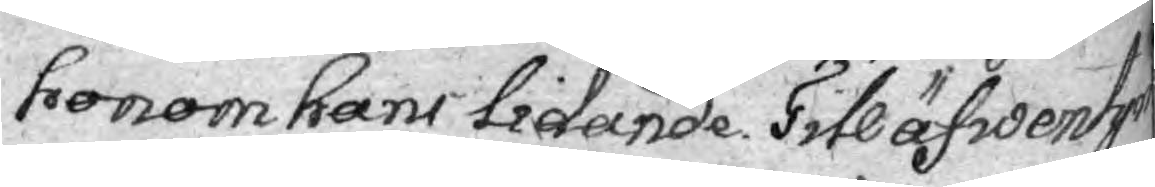honom hans lidande. Till äfwentyr
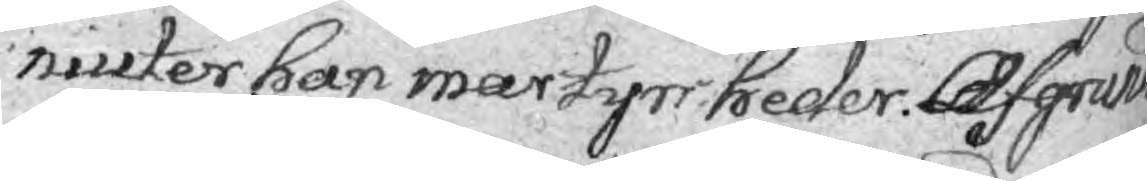niuter han martyrs heder. Afgrund
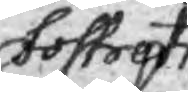fostrets
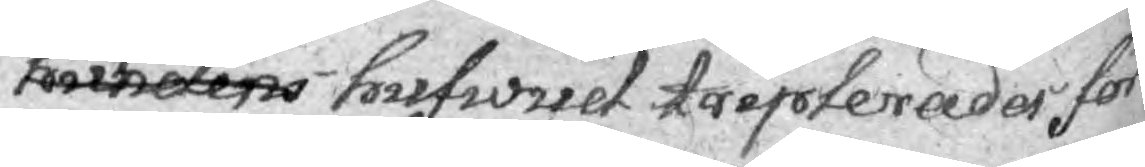hundens hufwud triplerades för
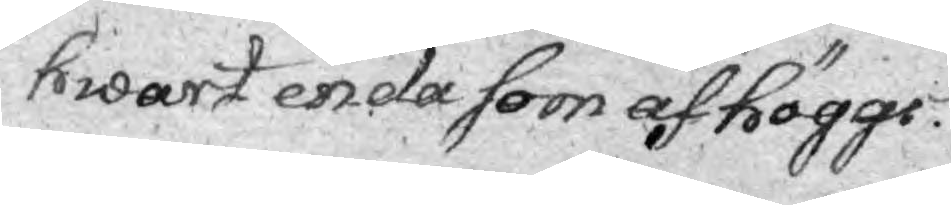hwart enda som af höggs.
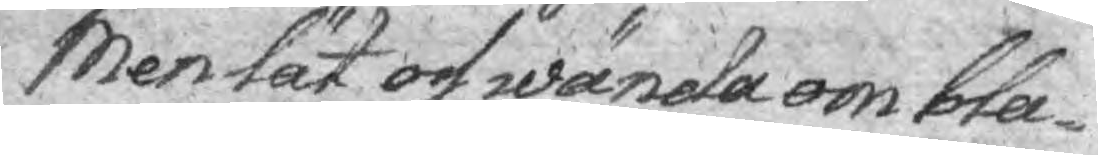Men lät os wända om bla¬
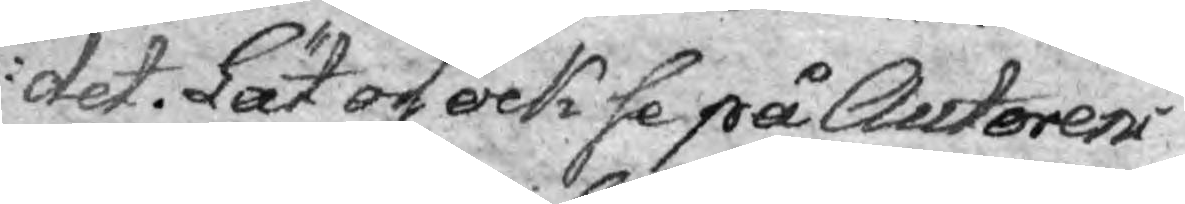det. Lät os ock se på Autorens
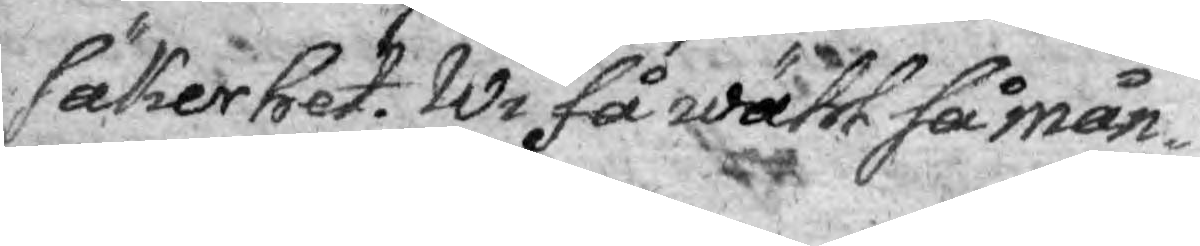säkerhet. Wi få wähl så mån¬
